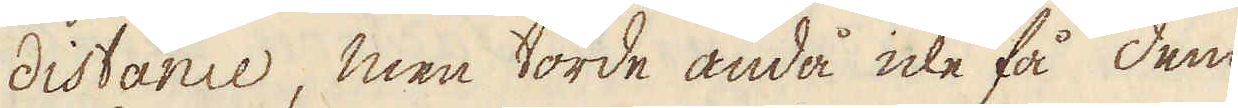distance, men torde ändå icke få dem
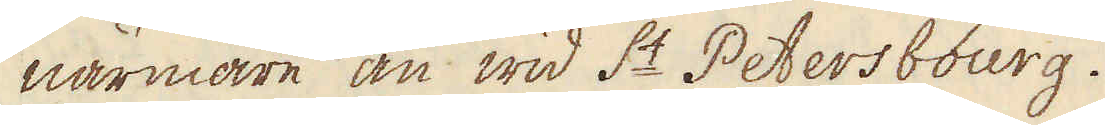närmare än wid S:t Petersbourg.
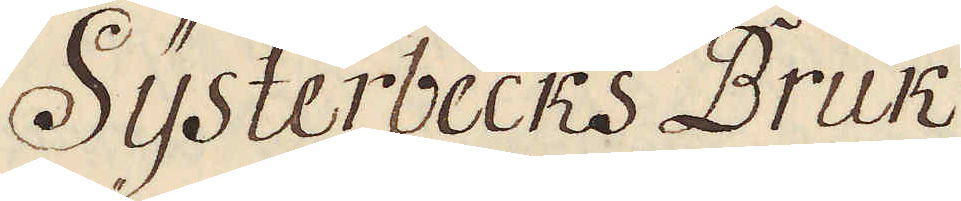Systerbecks Bruk
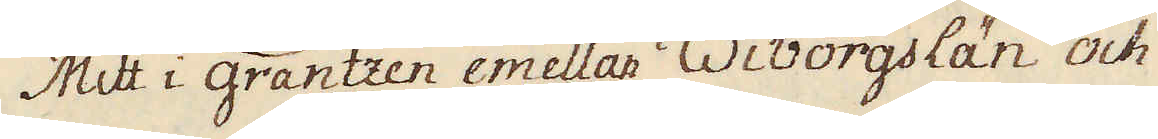Mitt i gräntzen emellan Wiborgs län och
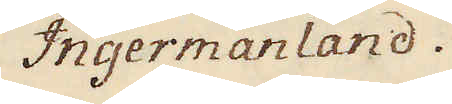Ingermanland.
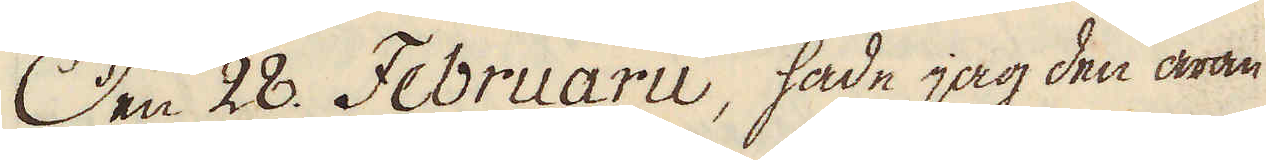Den 28. Februarii, hade jag den äran
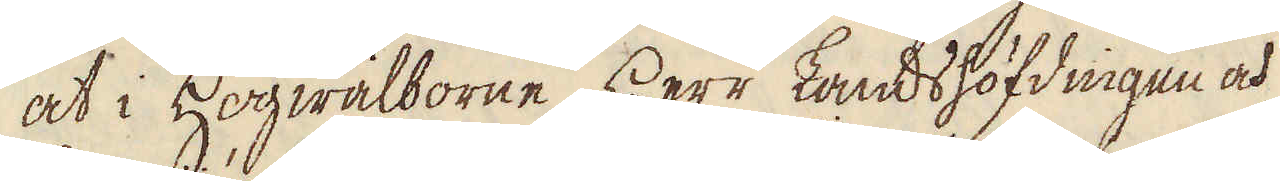at i Högwälborne Herr Landshöfdingen och
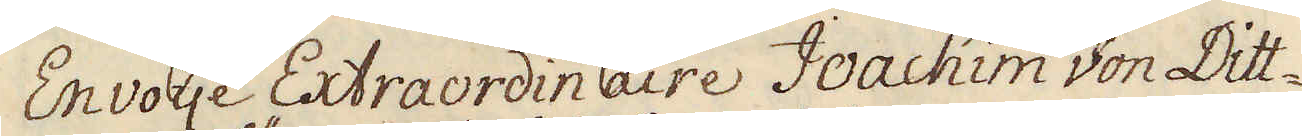Envoije Extraordinaire Joachim von Ditt-
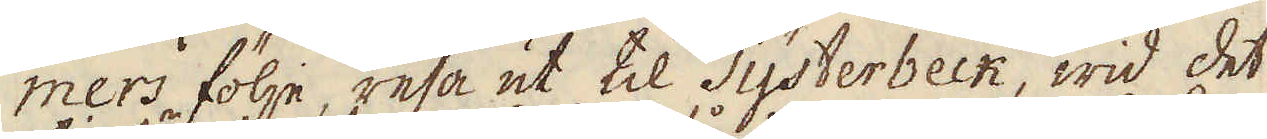mers följe, resa ut til Systerbeck, wid det
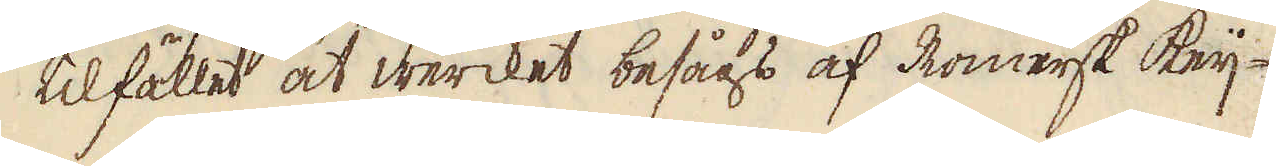tilfället at wercket besågs af Romersk keij-
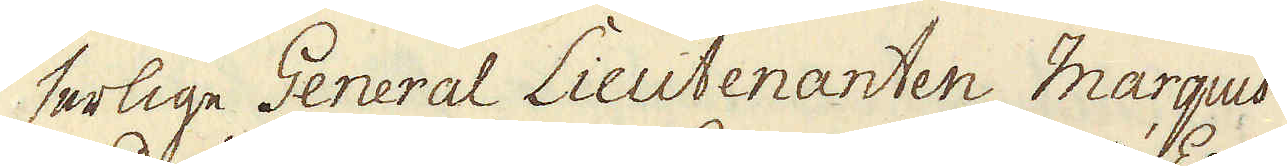serlige General Lieutenanten Marquis
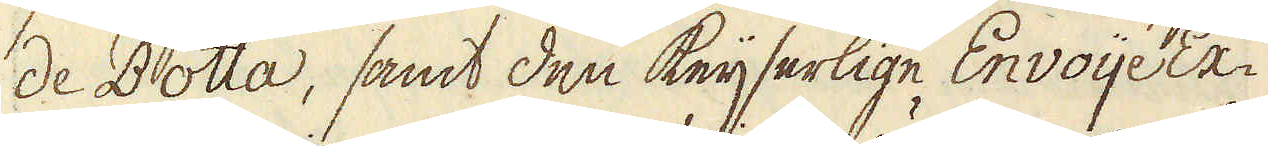de Botta, samt den keijserlige Envoije Ex-
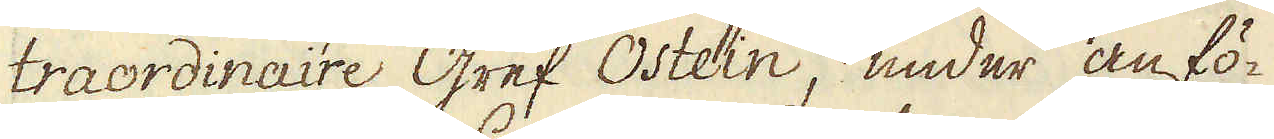traordinaire Gref Ostein, under anfö-
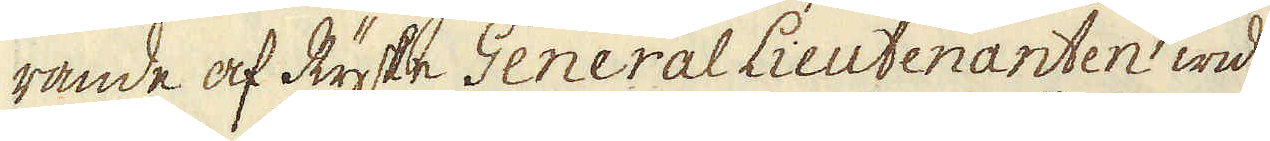rande af Ryske General Lieutenanten wid
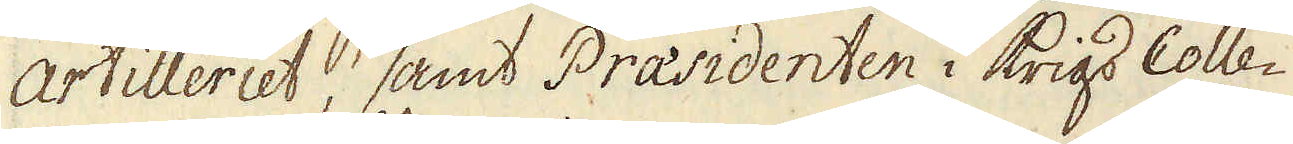Artilleriet, samt Præsidenten i Krigs Colle-
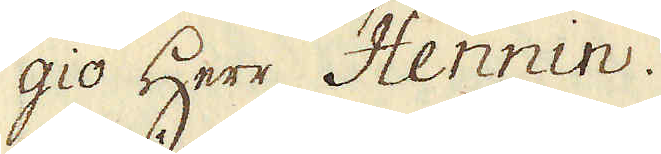gio Herr Hennin.
